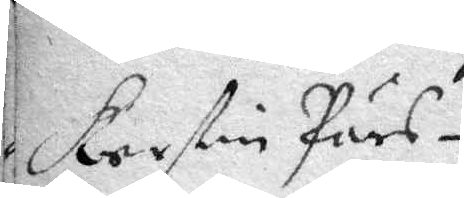Kerstin Pärs¬
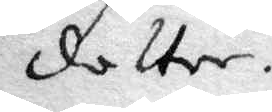dotter.
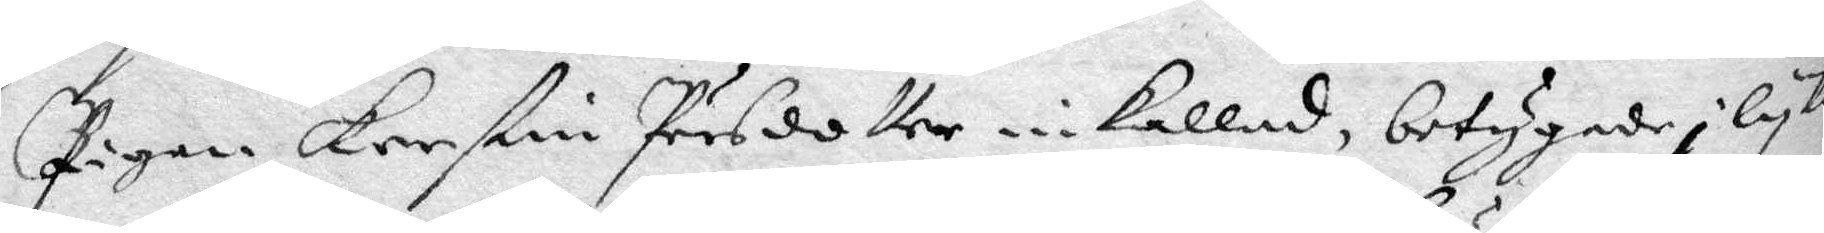Pigan Kerstin Pärsdotter inkallad, betygade i lyka
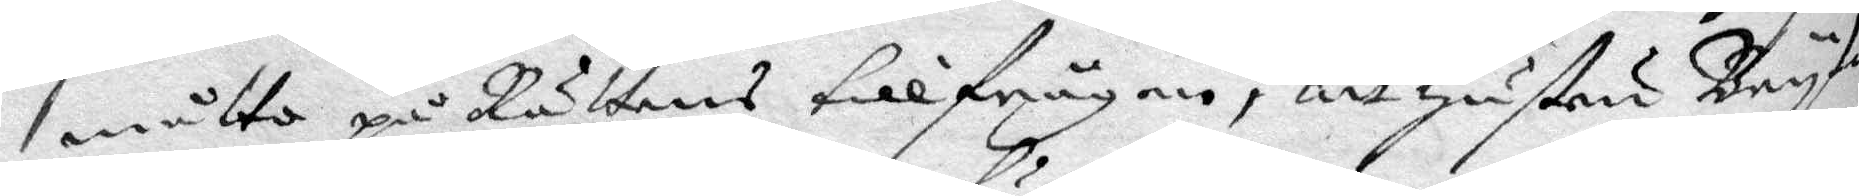måtto på Rättens tillfrågan, att hustru Bryta
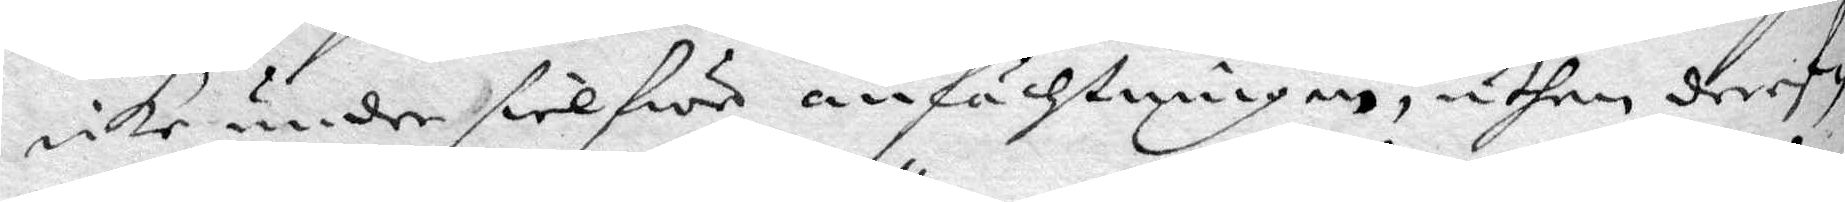icke under sielfwe anfächtningen, uthan deref¬
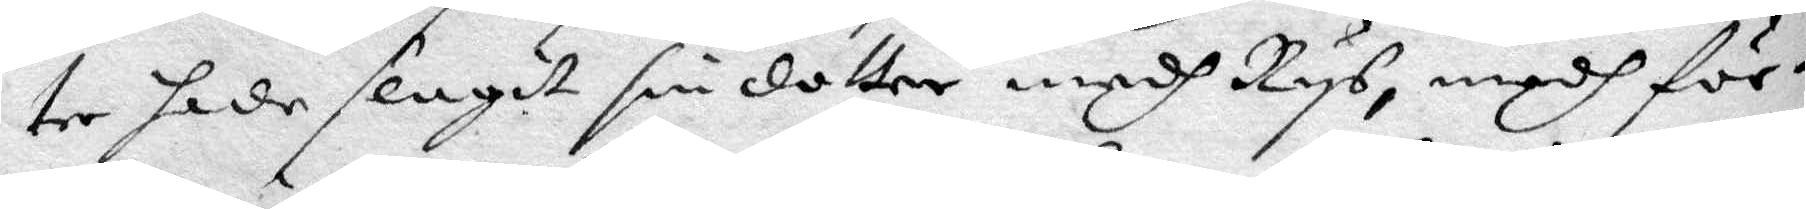ter hade slagit sin dotter medh Rys, medh för¬
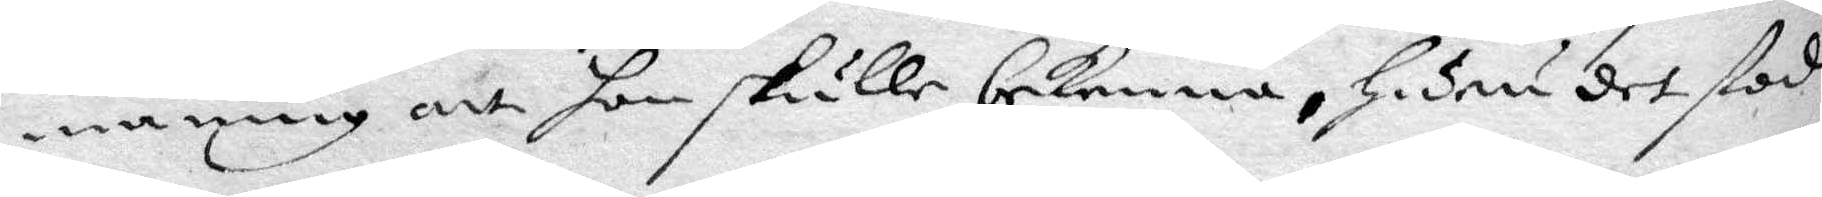maning att hon skulle bekenna, huru det stod
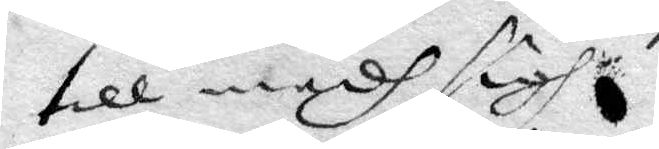till medh sig.
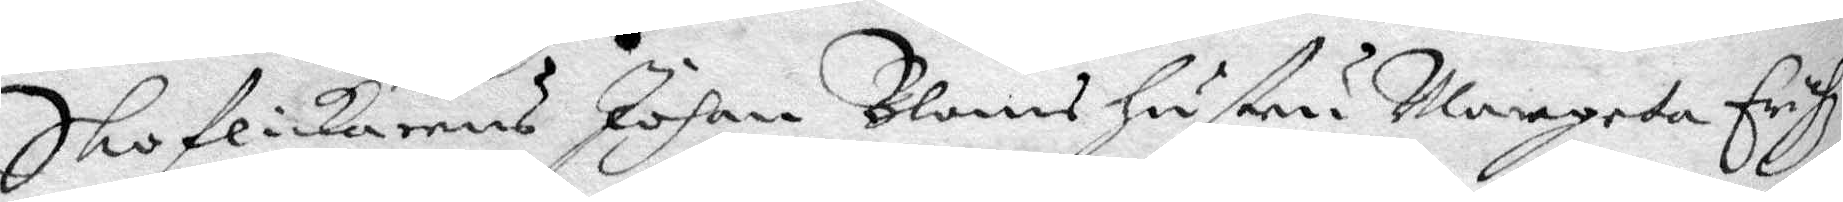Skoflickanrens Johan Bloms hustru Margeta Erich¬
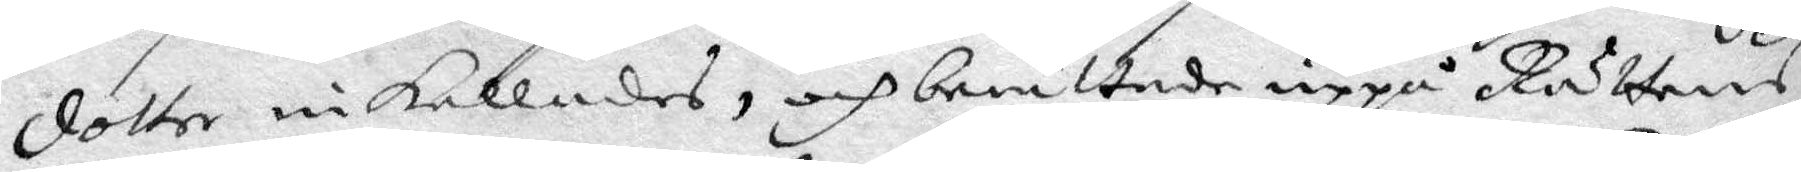dotter inkallades, och berättade uppå Rättens
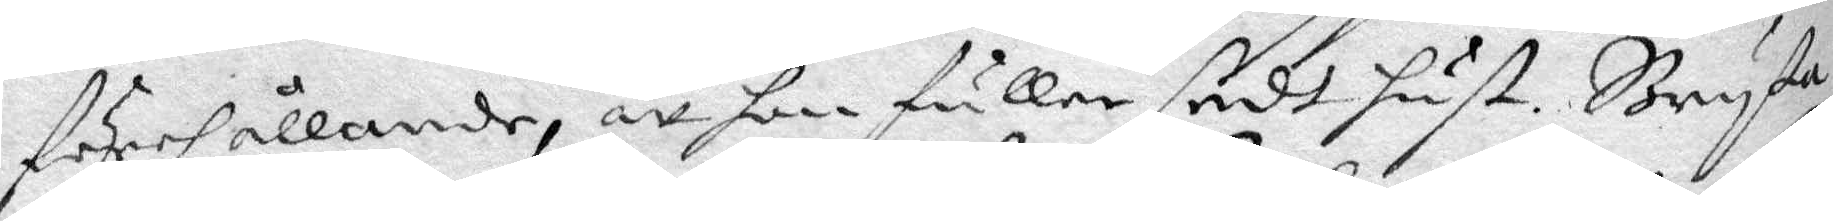förehållande, att hon fuller sedt hust. Bryta
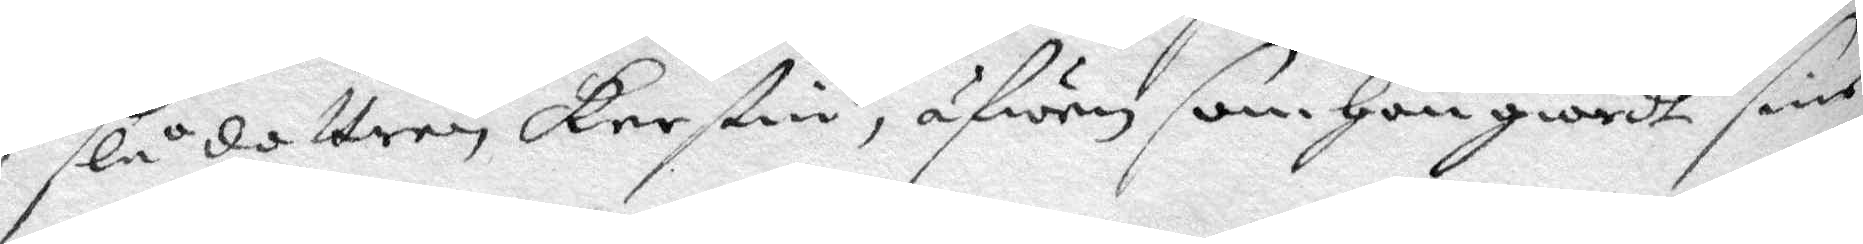slå dottren Kerstin, äfwen som hon giordt sine
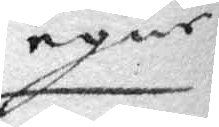egne
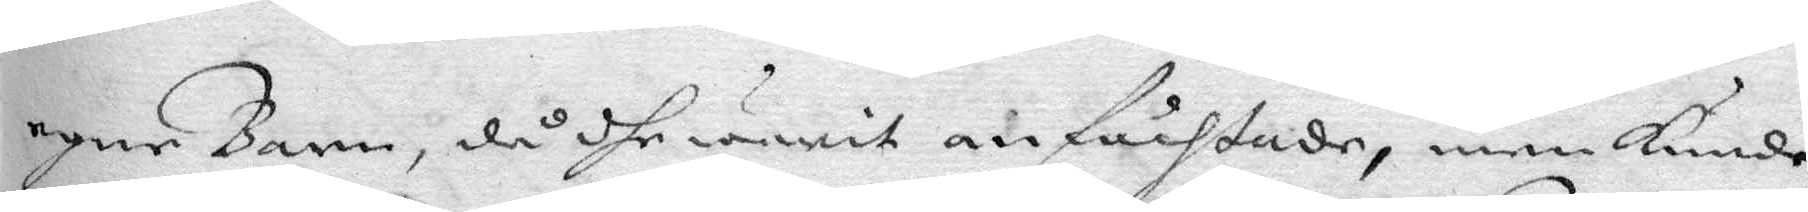egen Barn, då dhe warit anfächtade, men kunde
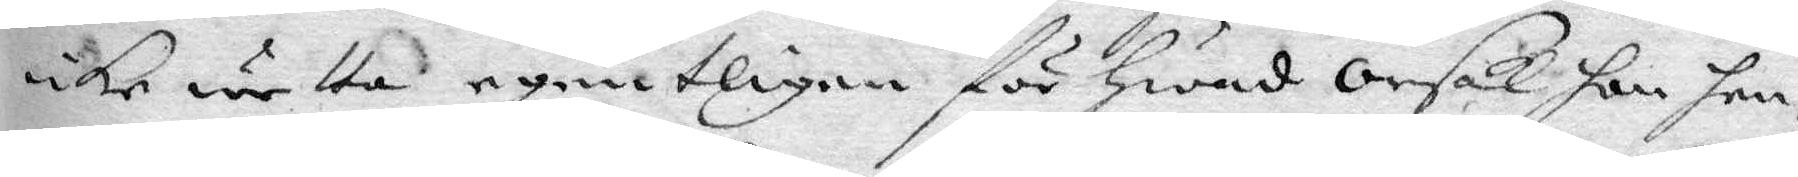icke wetta egentligen för hwad orsak hon hen¬
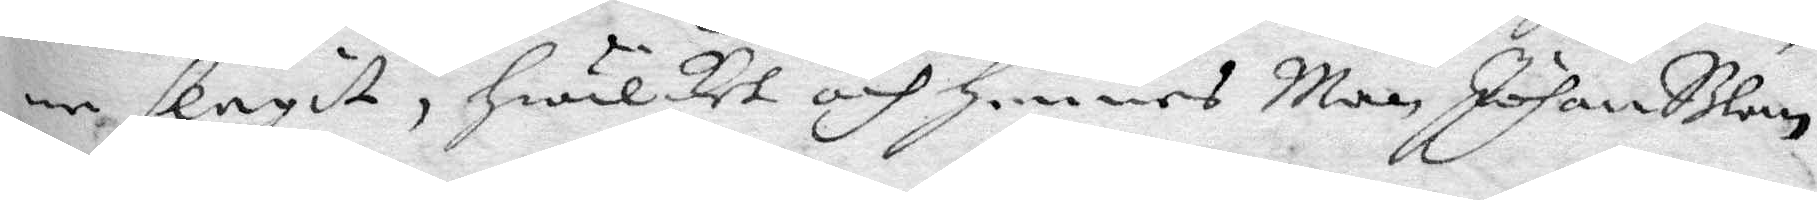ne slagit, hwilket och hennes Man Johan Blom
